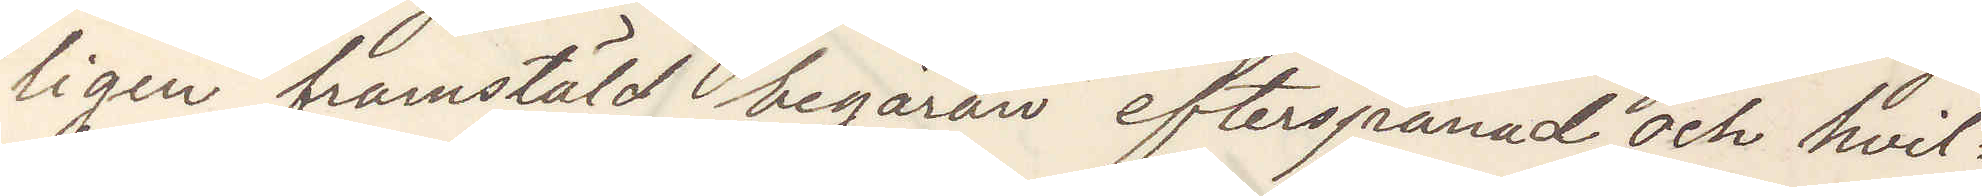ligen framstäld begäran efterspanad och hvil¬
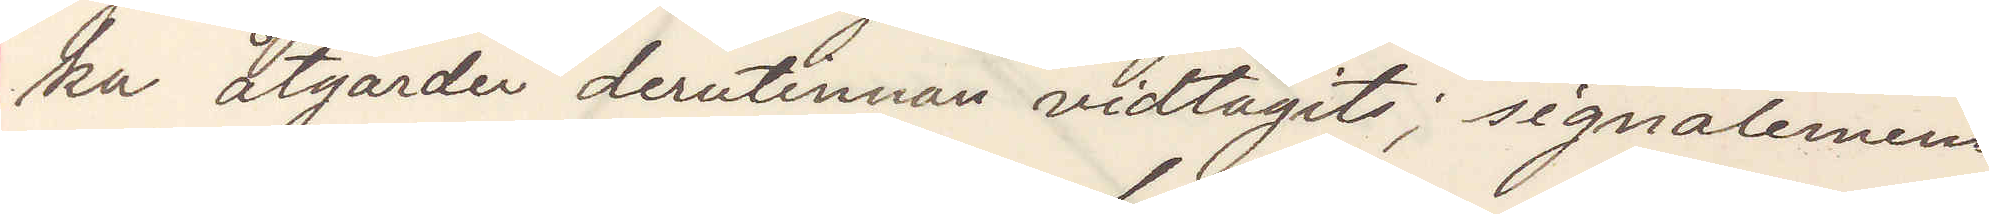ka åtgärder derutinnan vidtagits; signalement
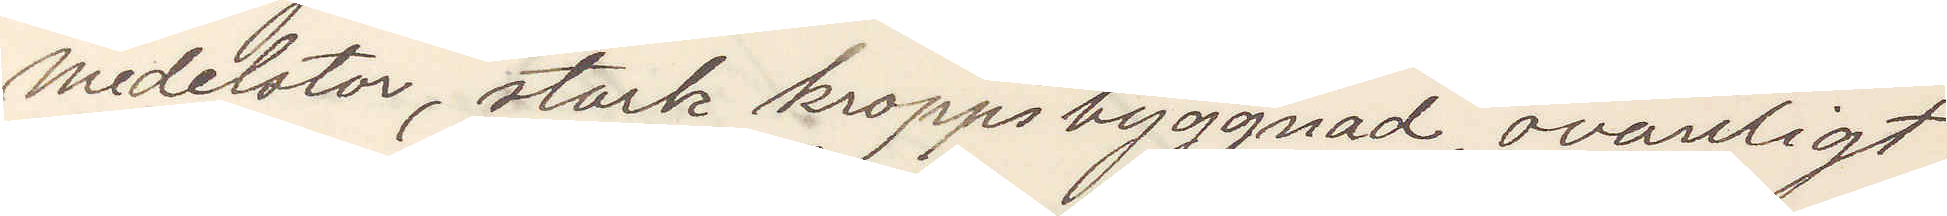medelstor, stark kroppsbyggnad, ovanligt
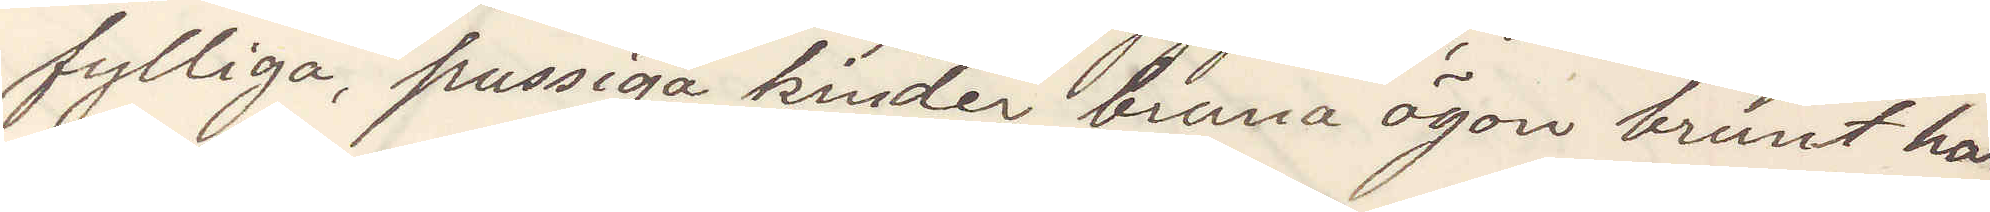fylliga, pussiga kinder bruna ögon brunt hår,
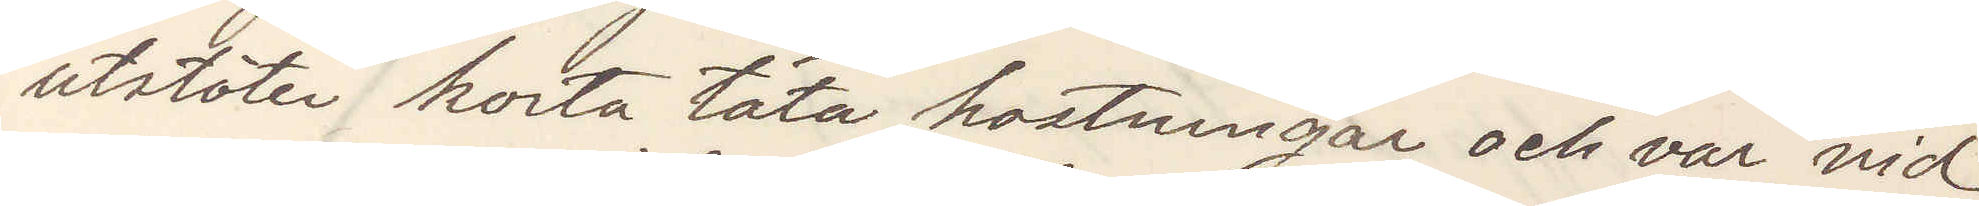utstöter korta täta hostningar och var vid
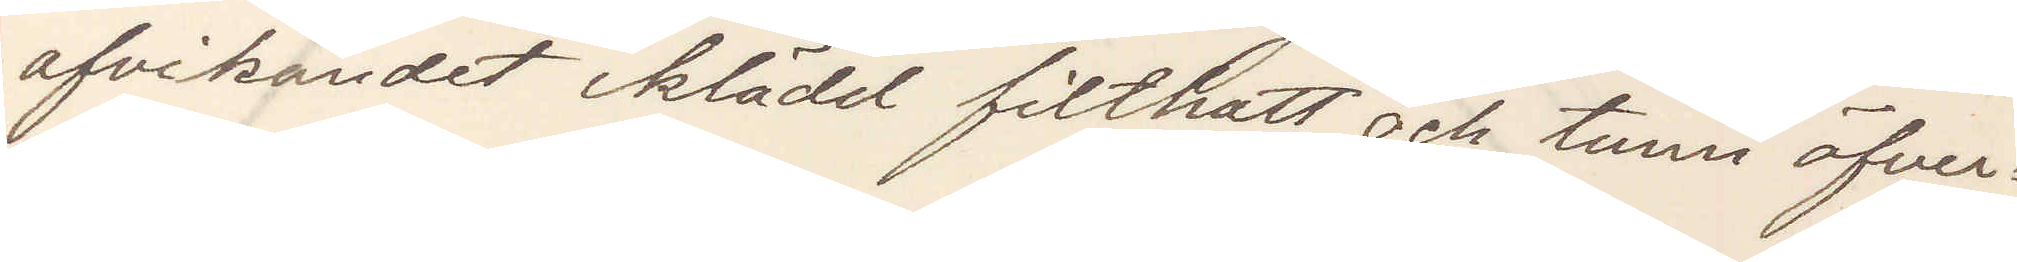afvikandet iklädd filthatt och tunn öfver¬
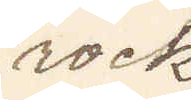rock
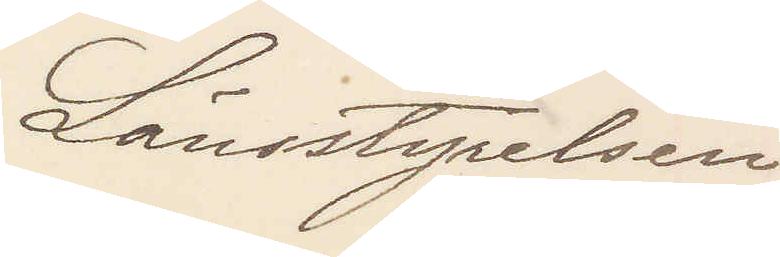Länsstyrelsen
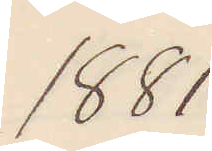1881
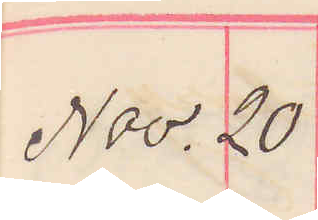Nov. 20
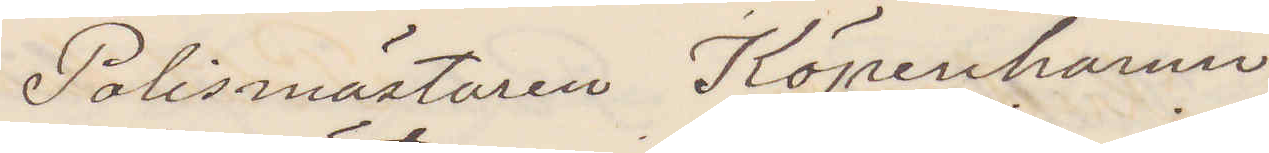Polismästaren Köpenhamn
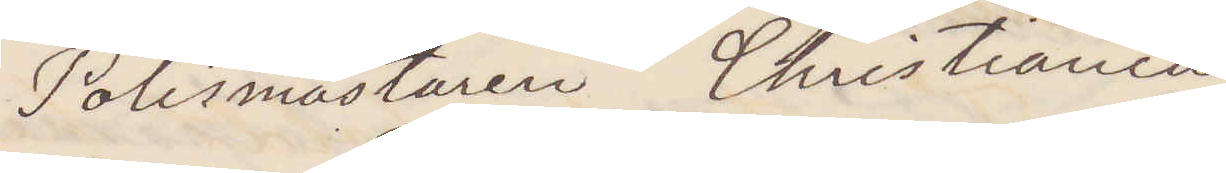Polismastaren Christiania
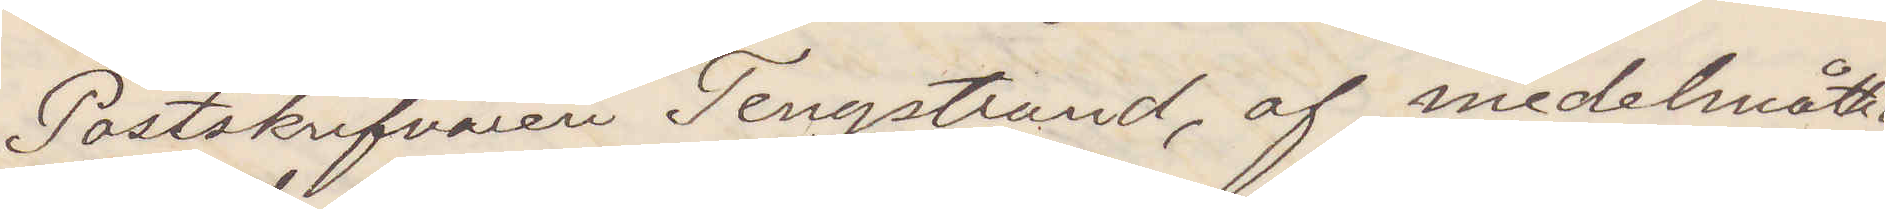Postskrifvaren Tengstrand, af medelmåttig
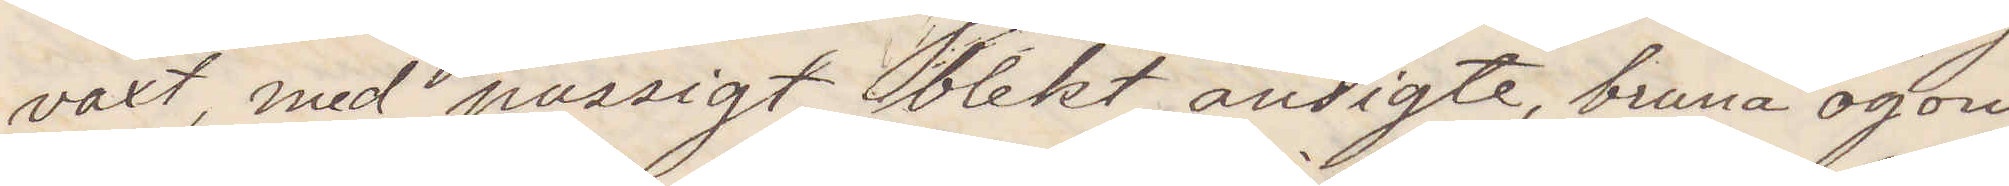vaxt, med pussigt, blekt ansigte, bruna ögon
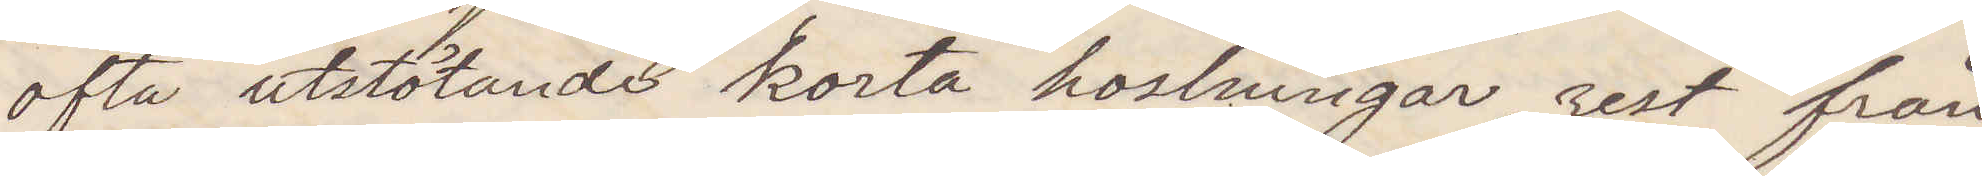ofta utstötande korta hostningar, rest från
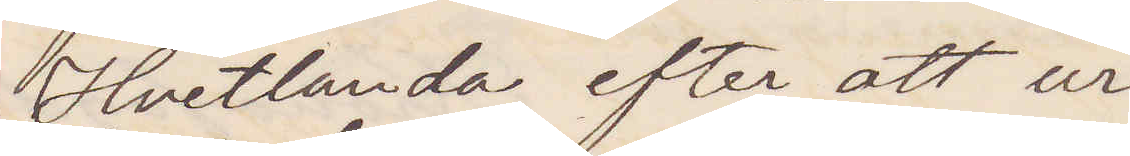Hvetlanda efter att ur
